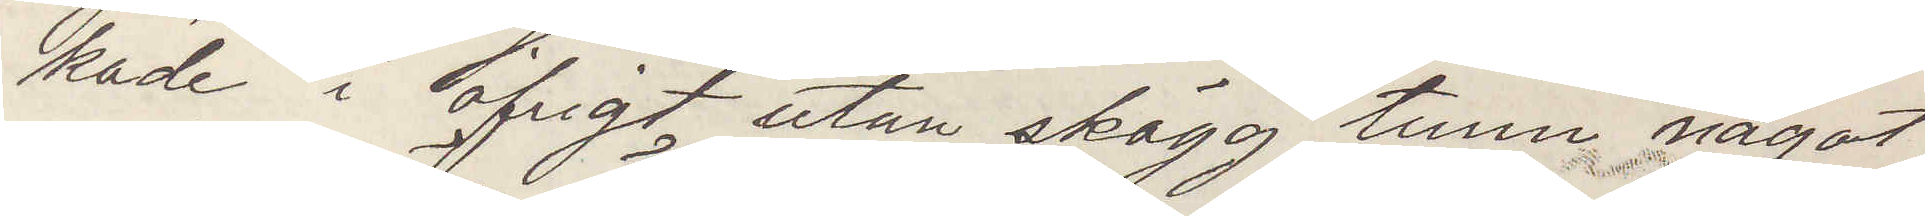kade i öfrigt utan skägg tunn något
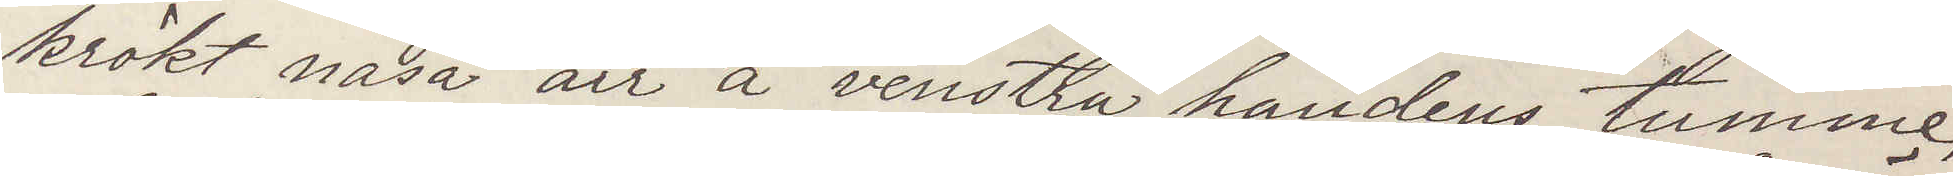krökt näsa ärr å venstra handens tumme
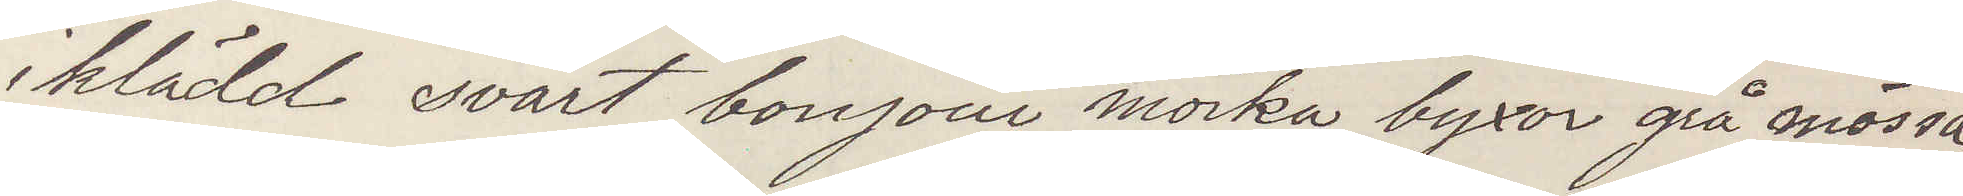iklädd svart bonjour mörka byxor grå mössa
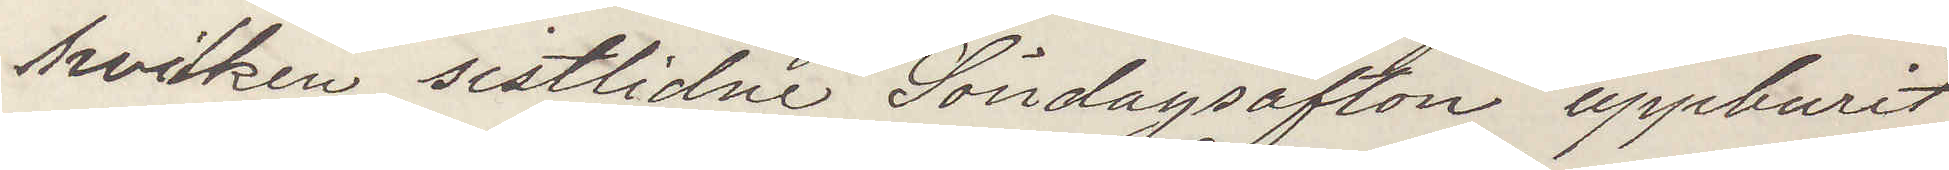hvilken sistlidne Söndagsafton uppburit
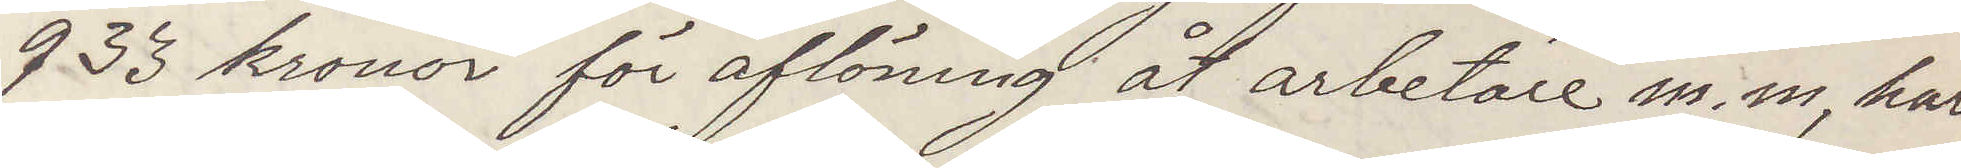933 kronor för aflöning åt arbetare m. m, har
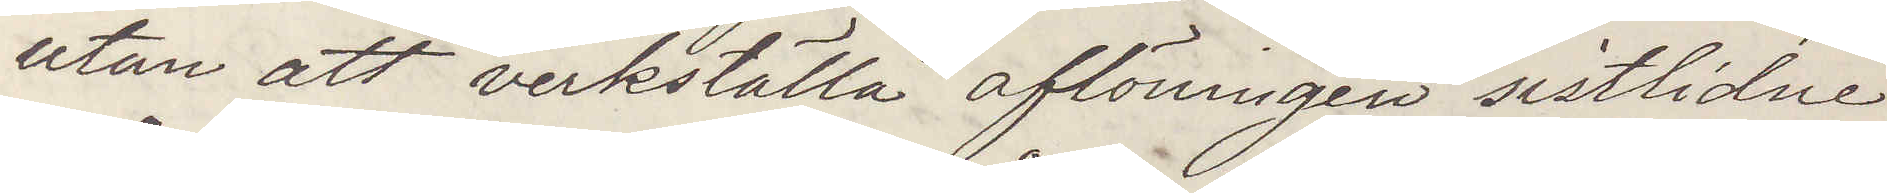utan att verkställa aflöningen sistlidne
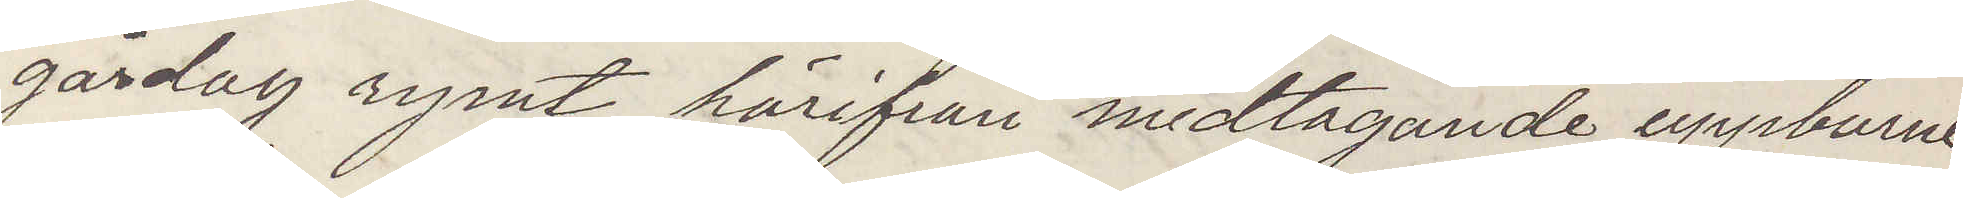gårdag rymt härifrån medtagande uppburne
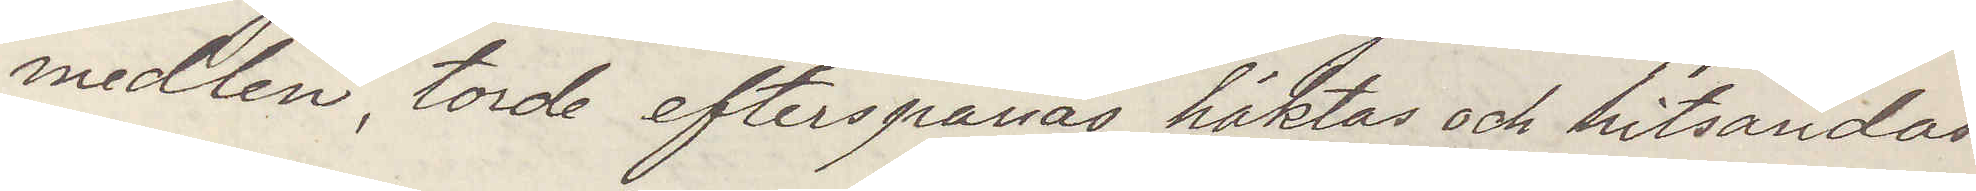medlen, torde efterspanas häktas och hitsänds
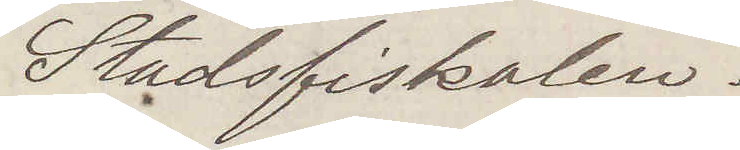Stadsfiskalen.
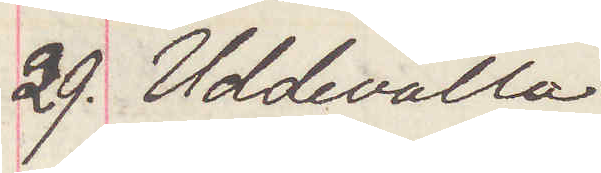29. Uddevalla
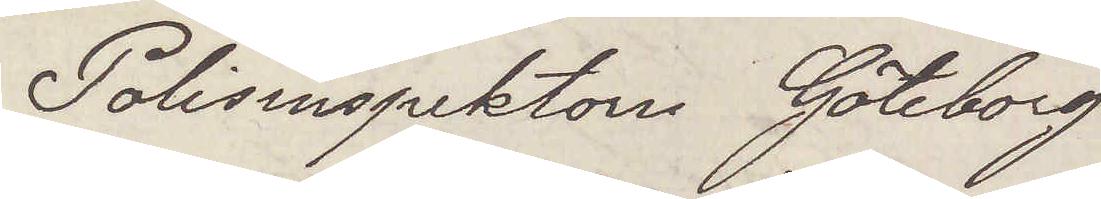polisinspektorn Göteborg
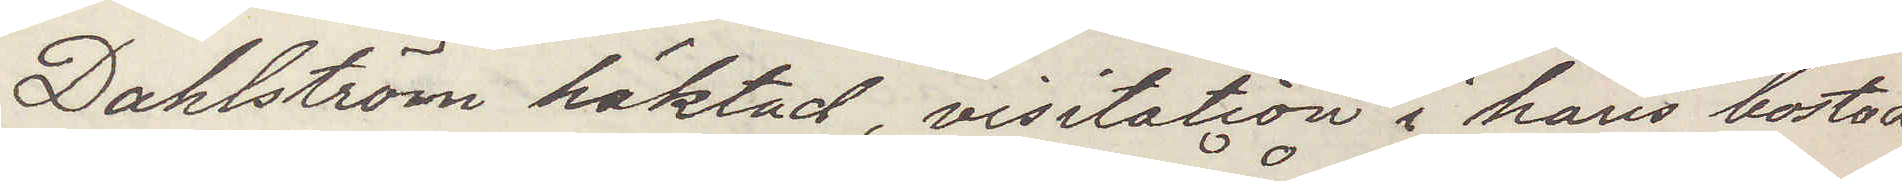Dahlström häktad, visitation i hans bostad
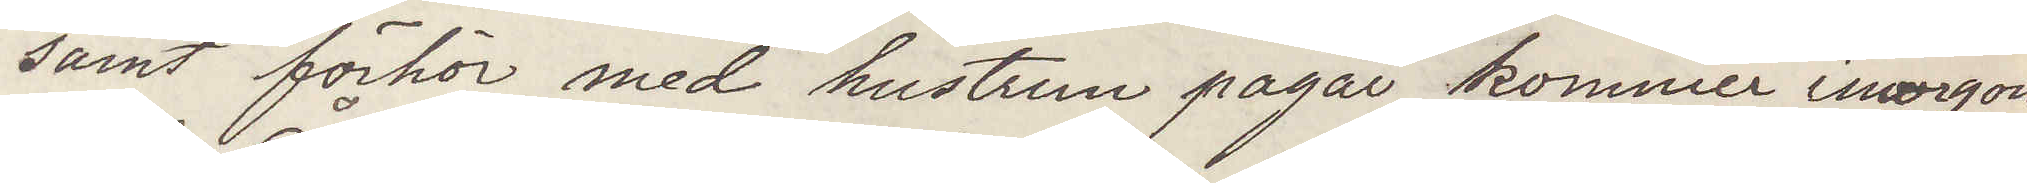samt förhör med hustrun pågår, kommer imorgon
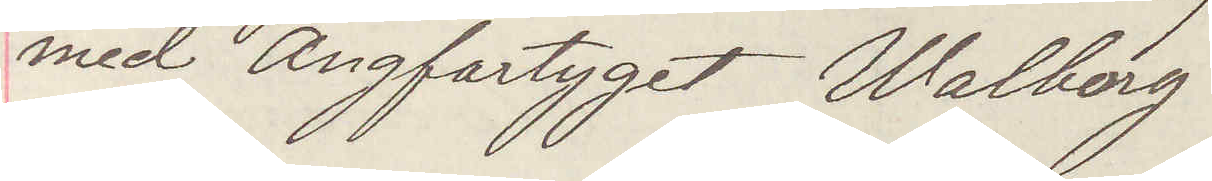med Ångfartyget Wahlborg
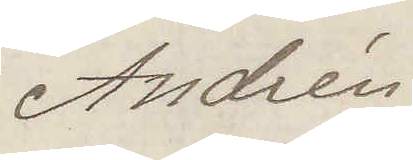Andrén
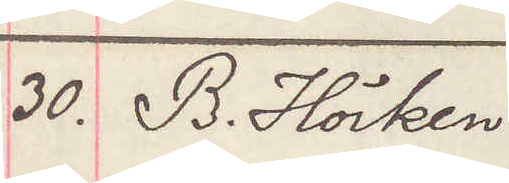30. B. Hörken.
